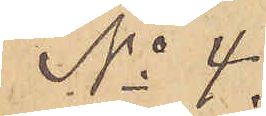No 4.
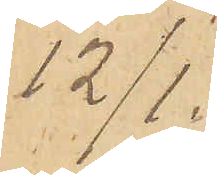12/1.
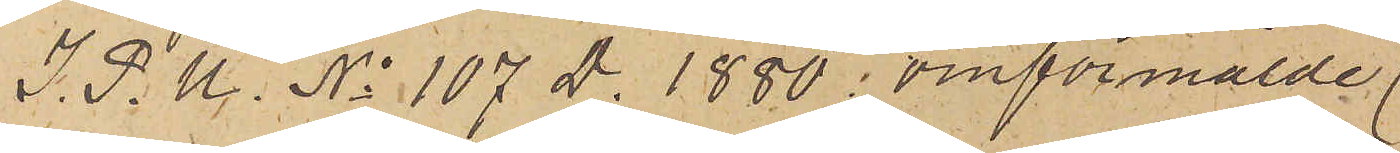I. P. U. No 107 D. 1880  omförmälde
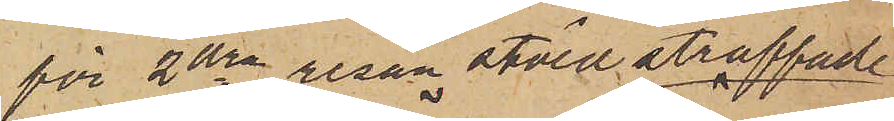för 2dra resan stöld straffade
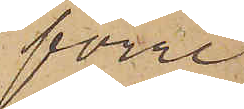förre
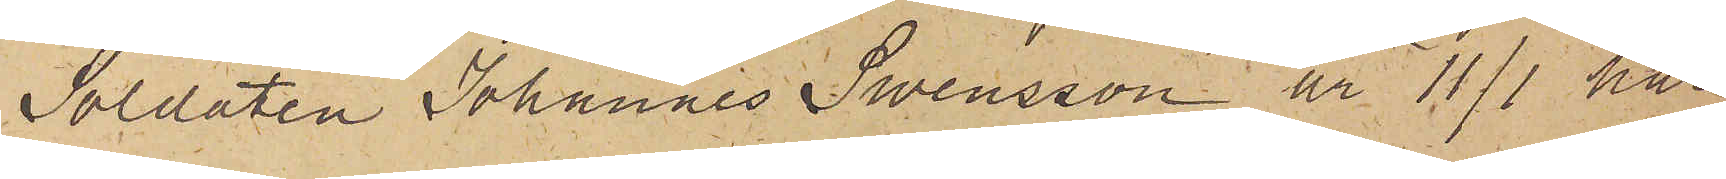Soldaten Johannes Swensson är 11/1 här
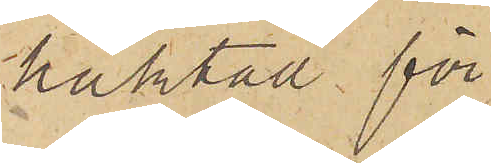häktad för
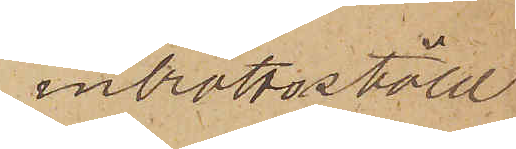inbrottsstöld.
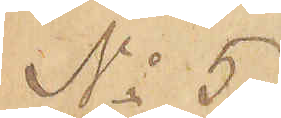No 5
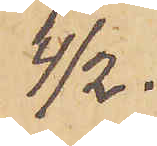4/2.
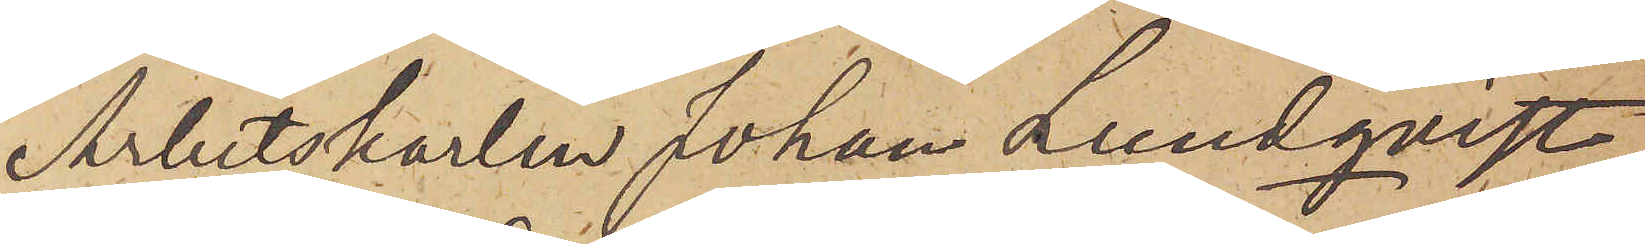Arbetskarlen Johan Lundqvist
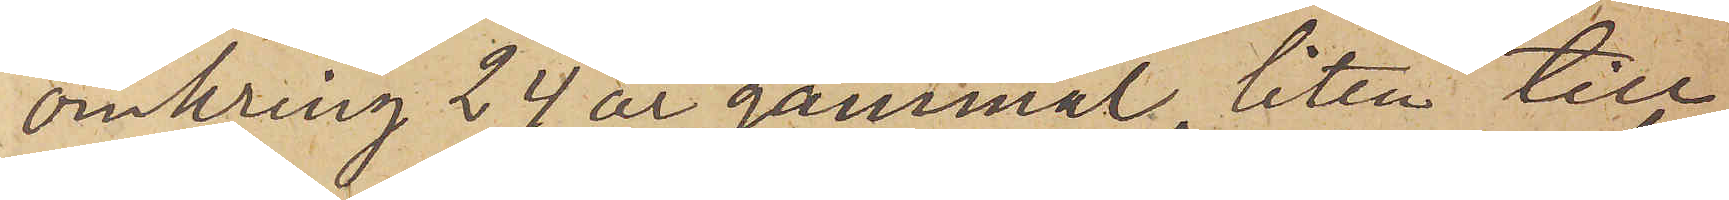omkring 24 år gammal, liten till
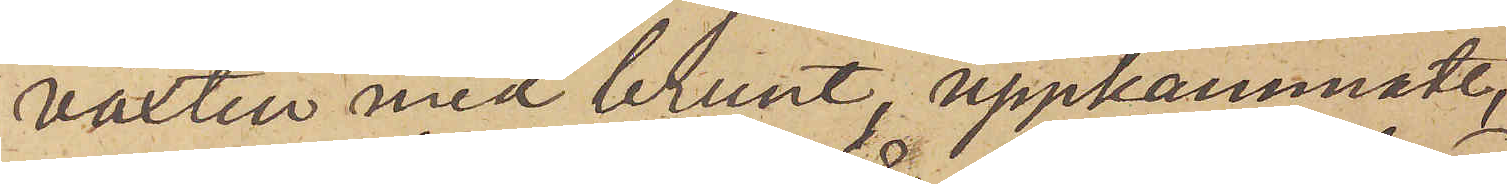växten med brunt, uppkammadt,
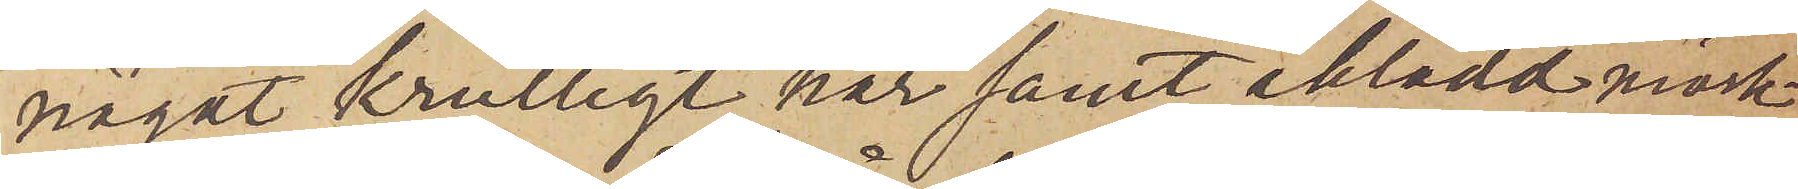något krulligt hår samt iklädd mörk¬
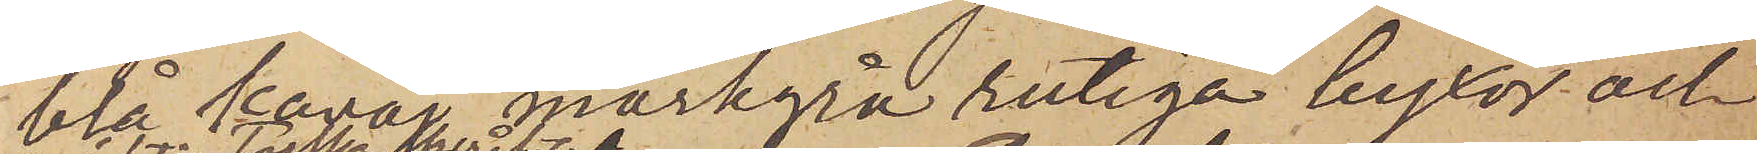blå kavaj, mörkgrå rutiga byxor och
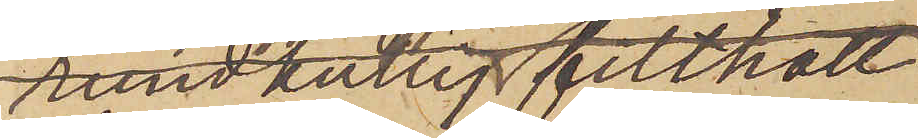rund kullig filthatt
